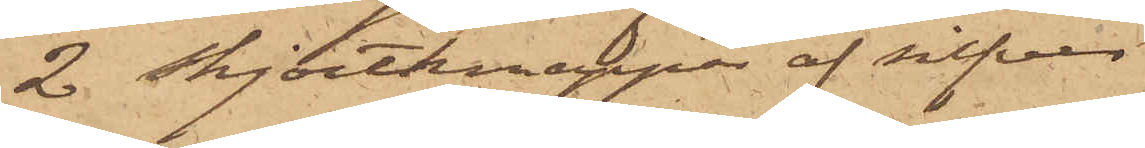2 skjortknappar af silfver
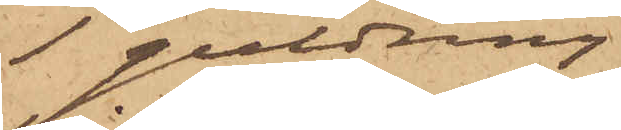1 guldring
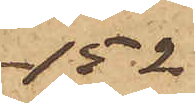-152
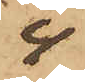4
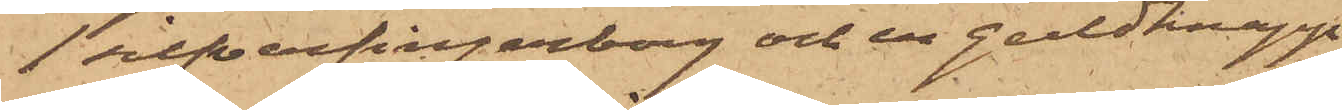1 silfverfingerborg och en guldknapp
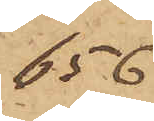656
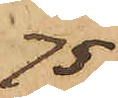.75
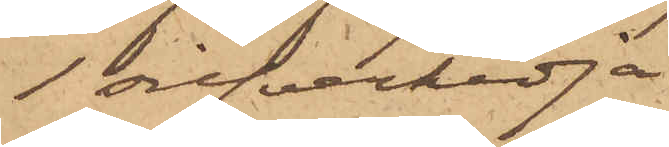1 silfverkedja
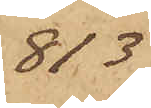813
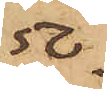.50
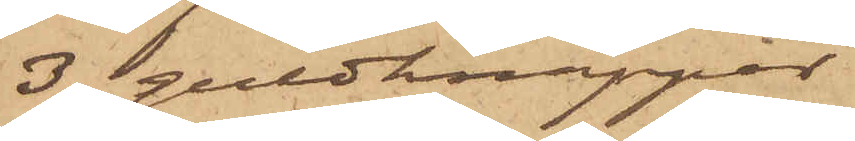3 guldknappar
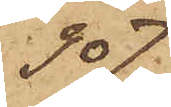907
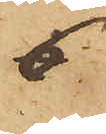6
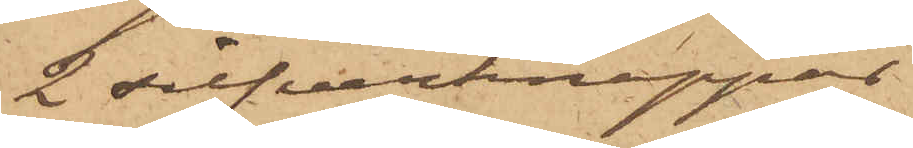2 silfverknappar
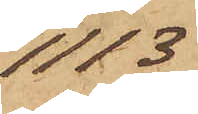1113
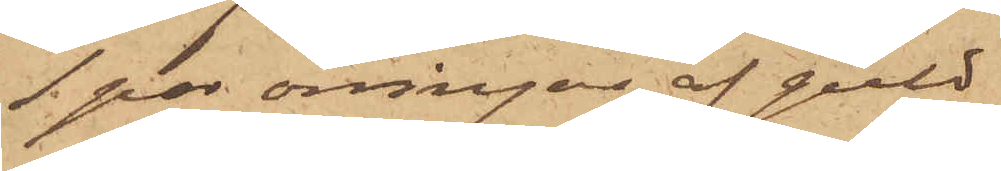1 par örringar af guld
